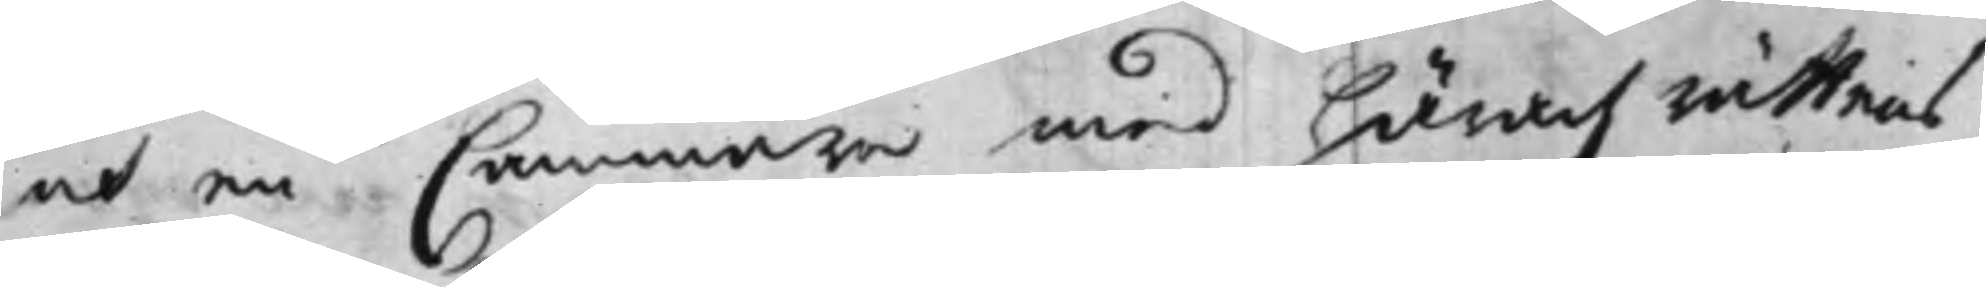och en Cammare med häradzrättens
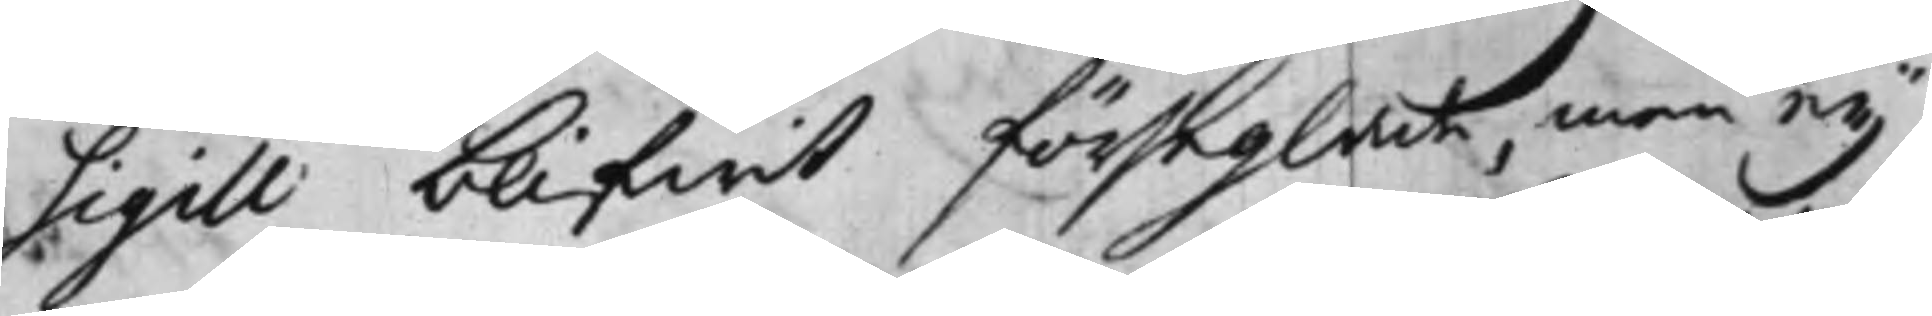Sigill blifwit förseglade, men ey
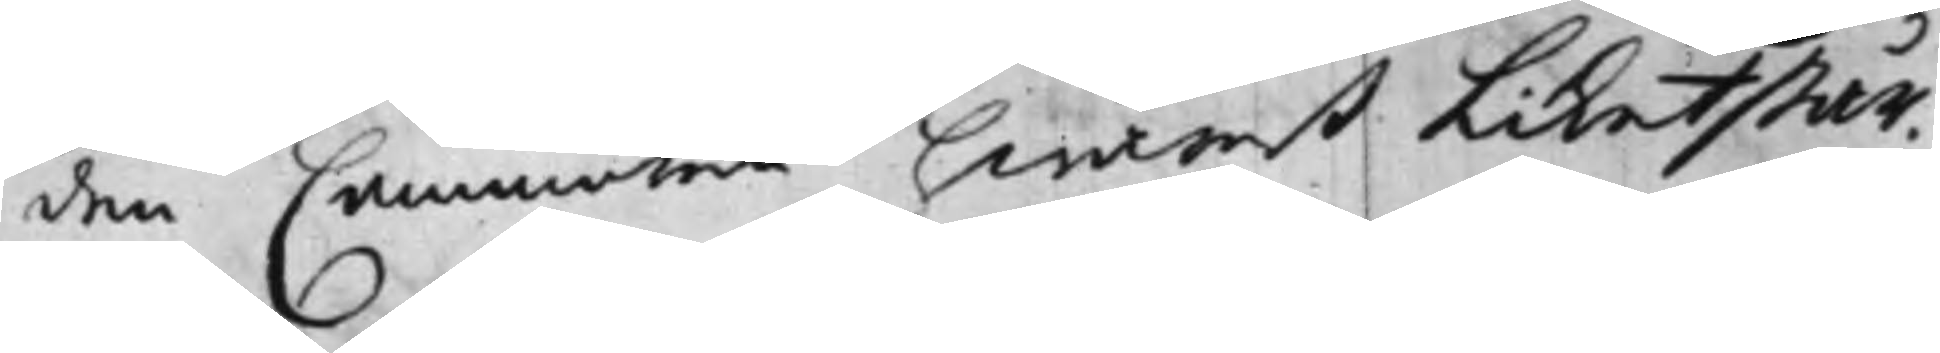den Cammaren hwarest Liket står.
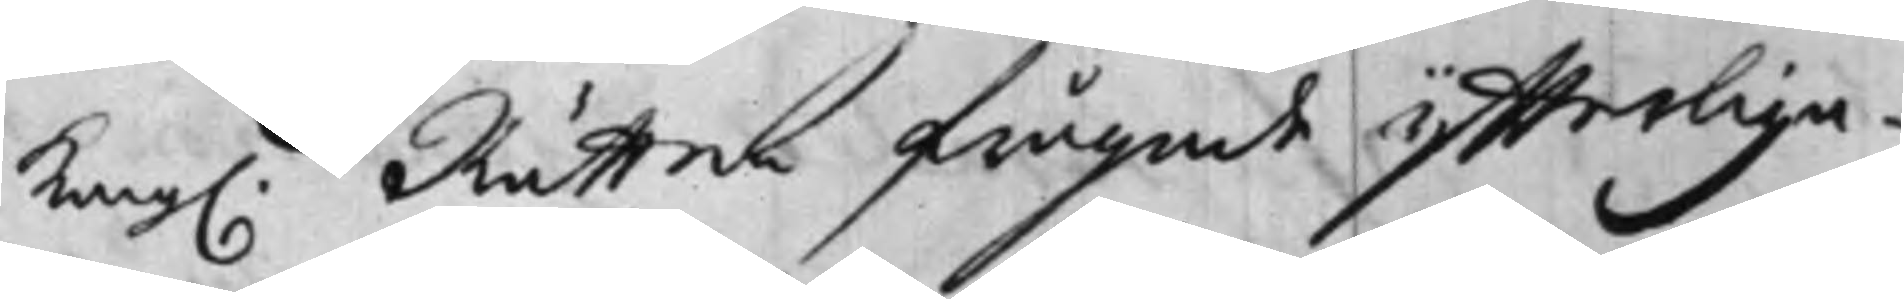Kong. Rätten frågade ytterliga¬
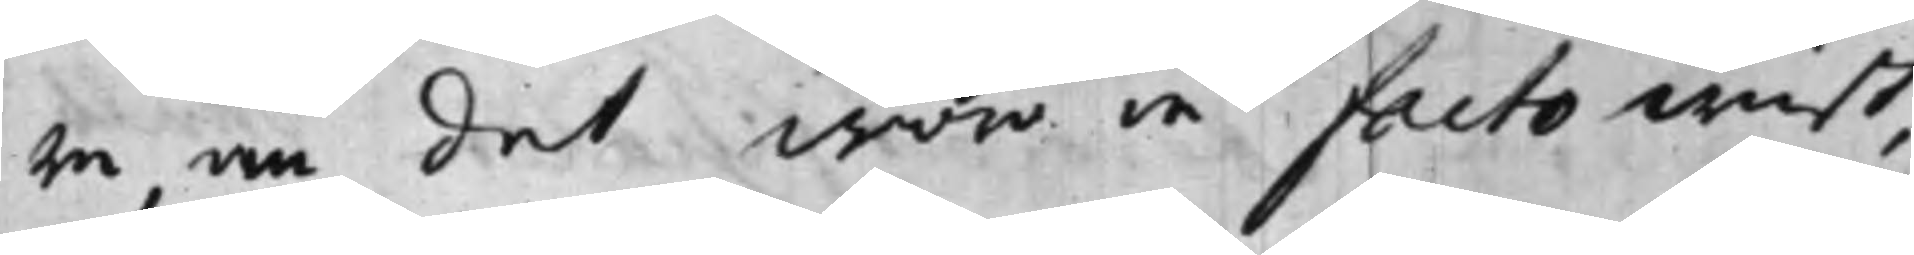re, om det woro in facto wist,
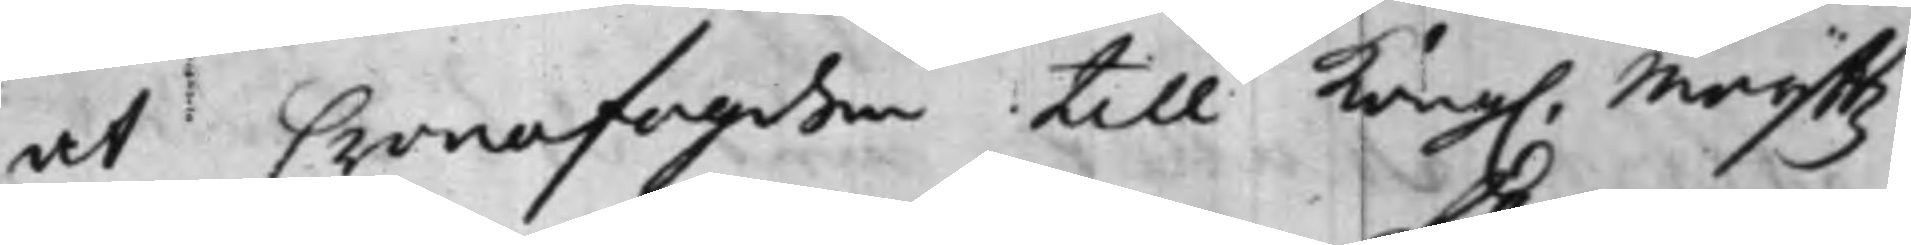at Cronofogden till Kong. Maijttz
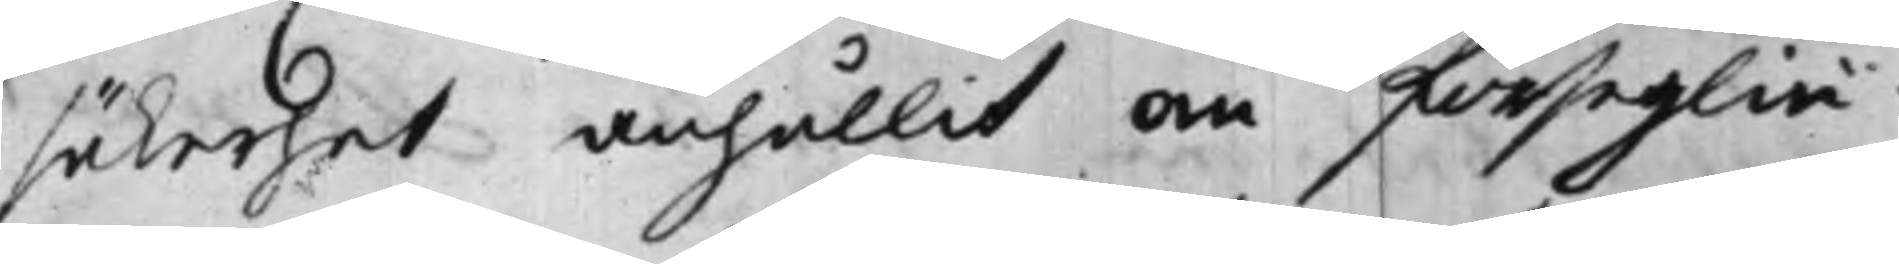säkerhet anhållit om förseglin¬
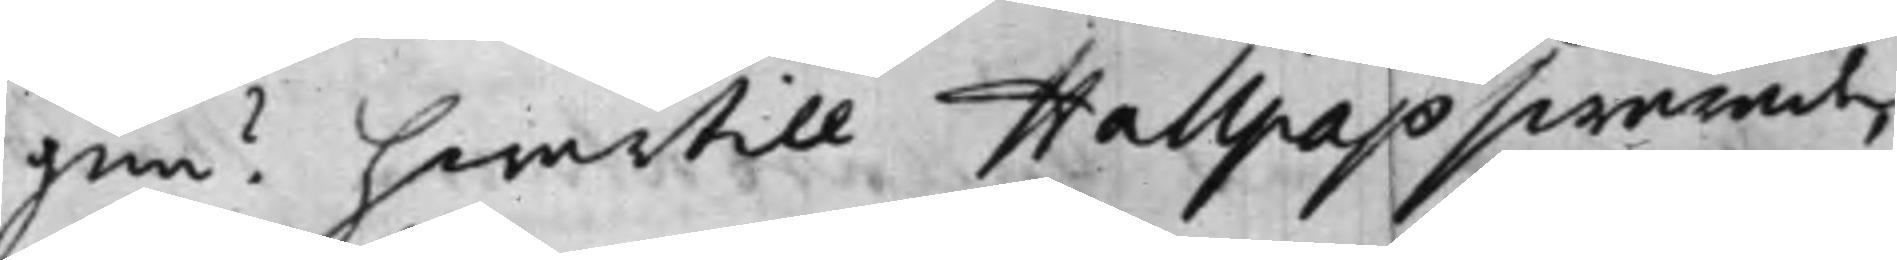gen? hwartill Hallpap swarade
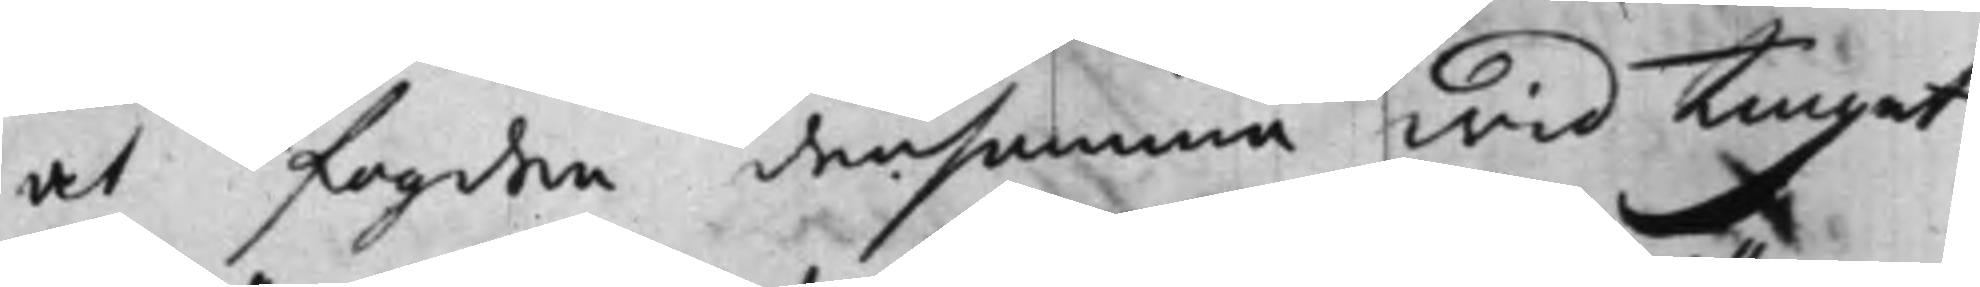at fogden densamma wid Tinget
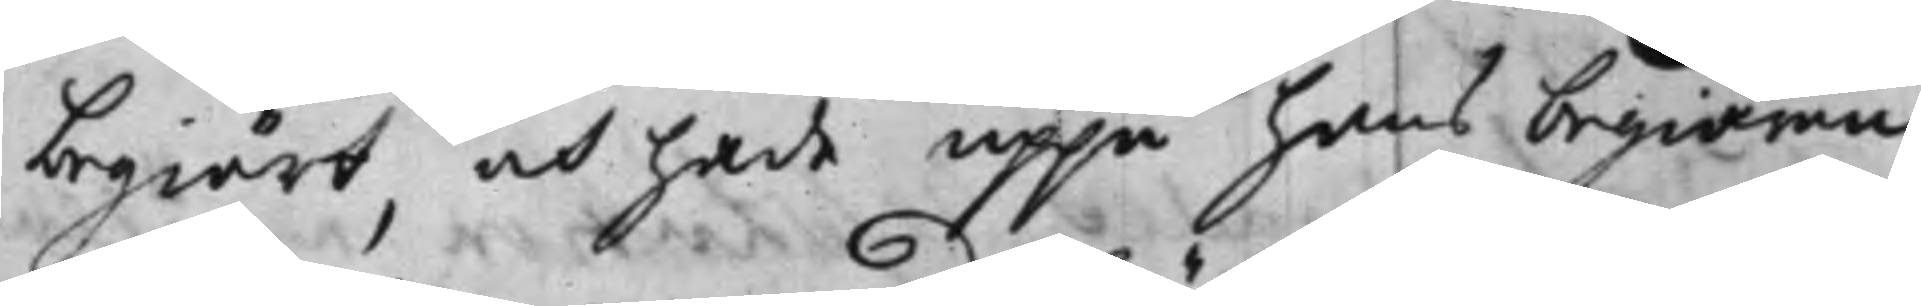begiärt, och hade uppå hans begäran
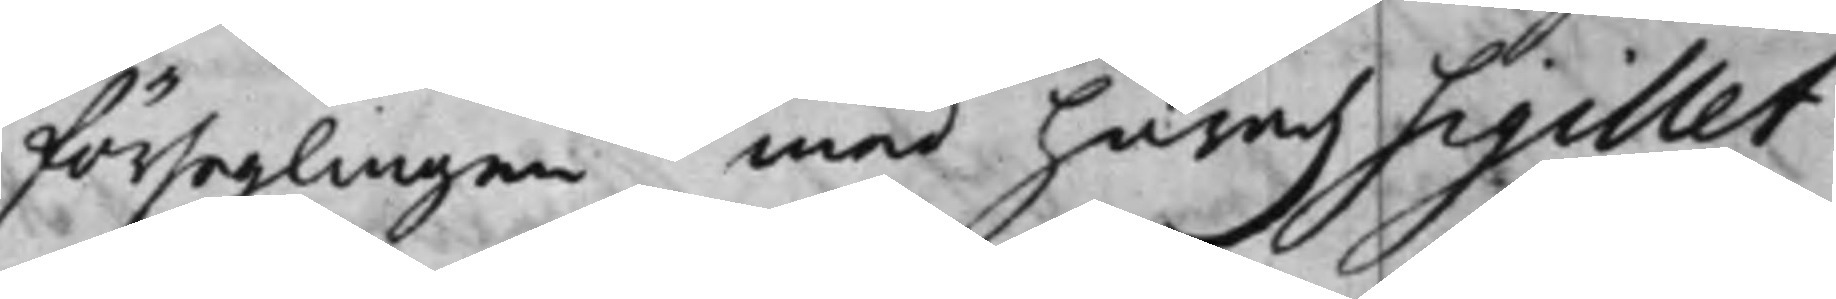förseglingen med häradz Sigillet
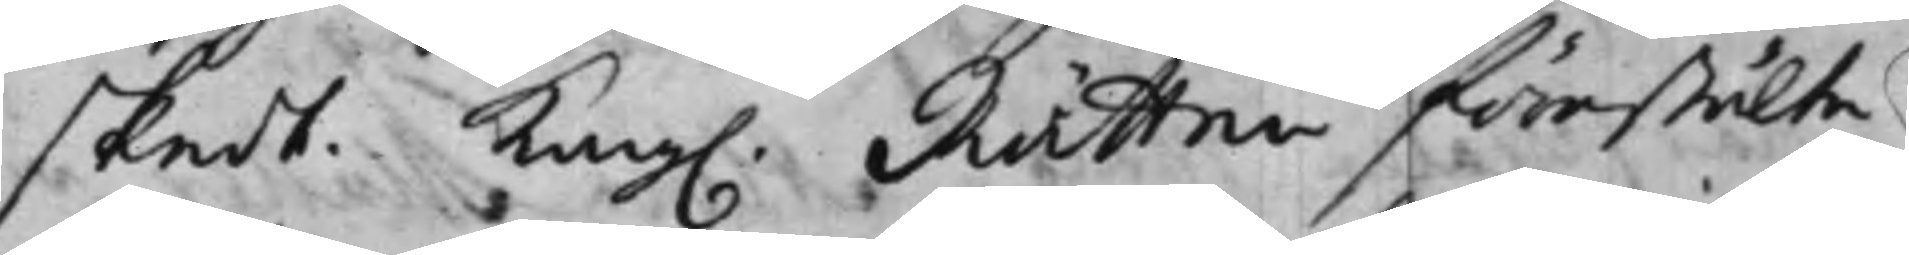skedt. Kong. Rätten förestälte
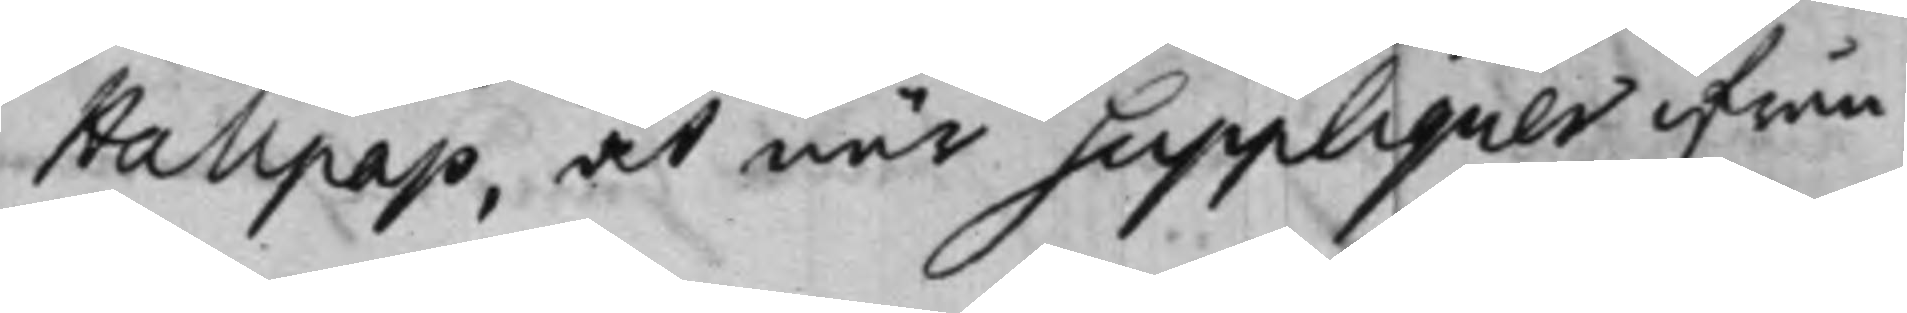Hallpap, at när Suppliquer ifrån
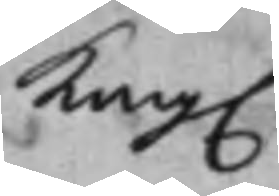Kong.
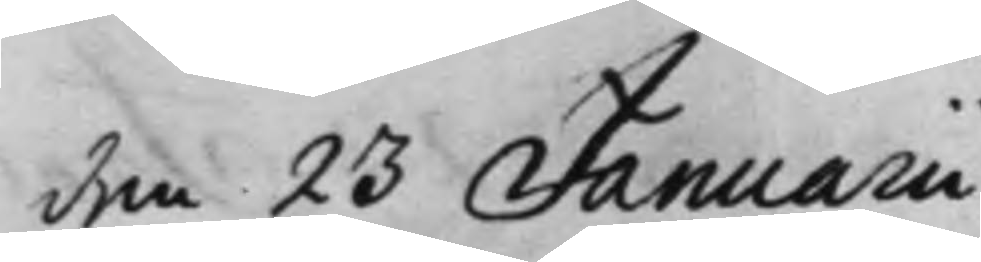den 23 Januarii
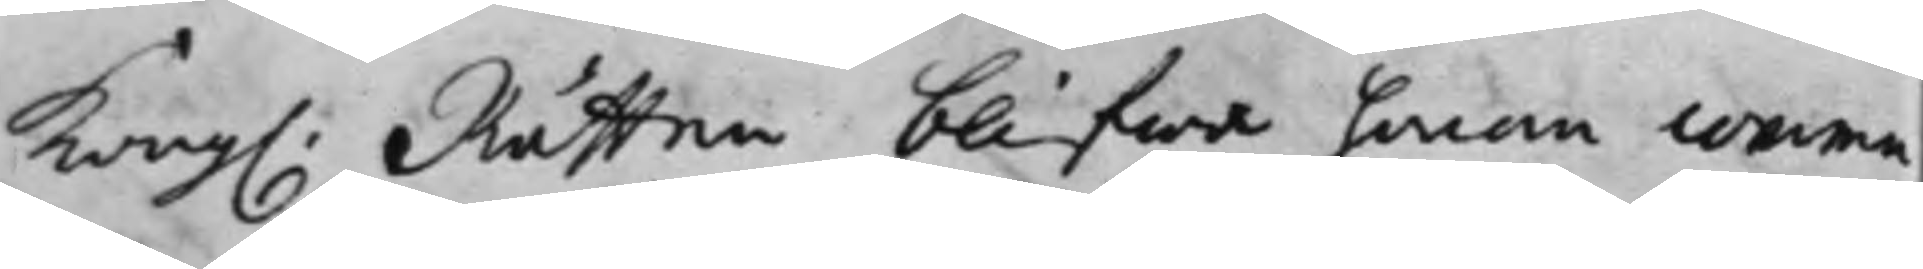Kong. Rätten blifwa honom commu¬
